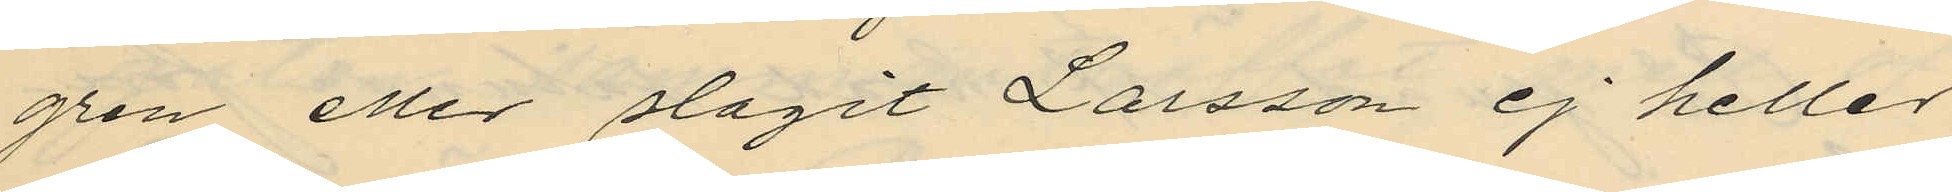gren eller slagit Larsson ej heller
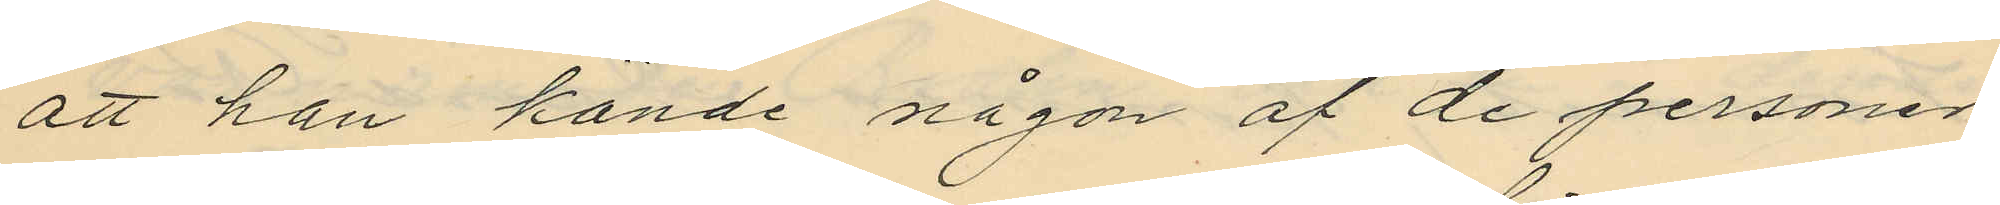att han kände någon af de personer
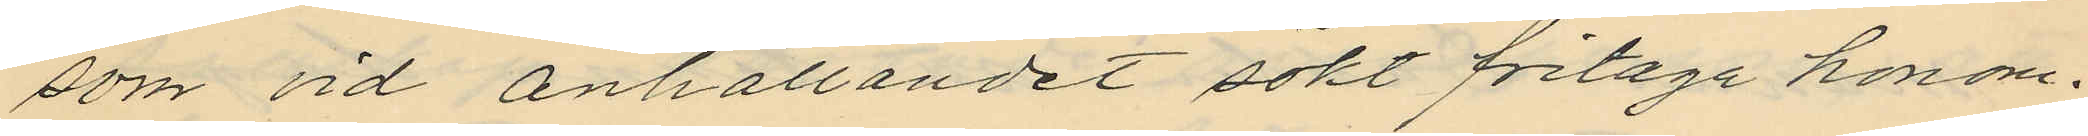som vid anhållandet sökt fritaga honom.
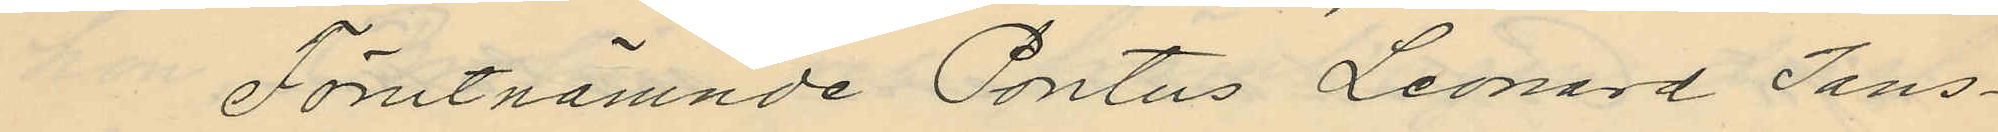Förutnämnde Pontus Leonard Jans¬
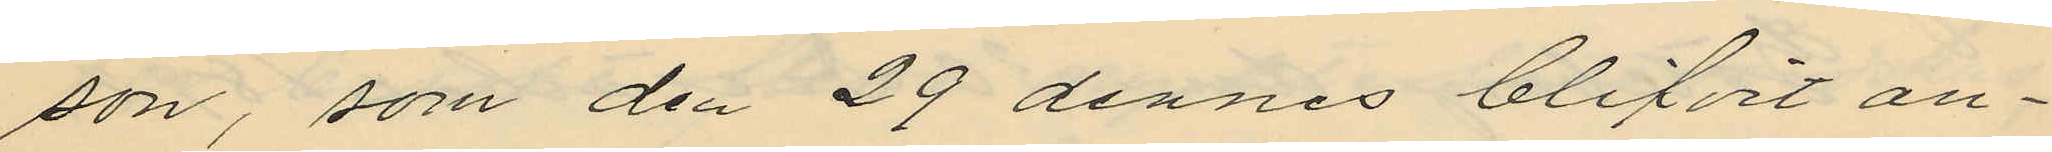son, som den 29 dennes blifvit an¬
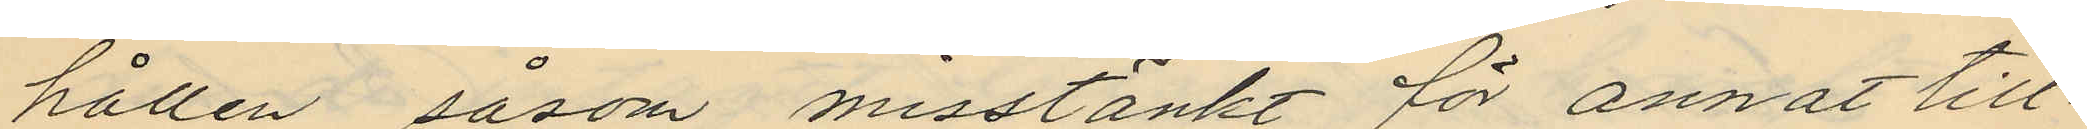hållen såsom misstänkt för annat till¬
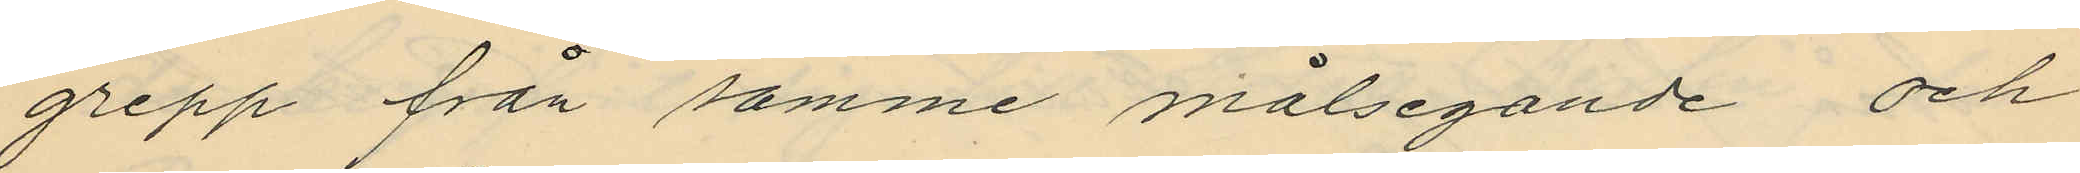grepp från samme målsegande och
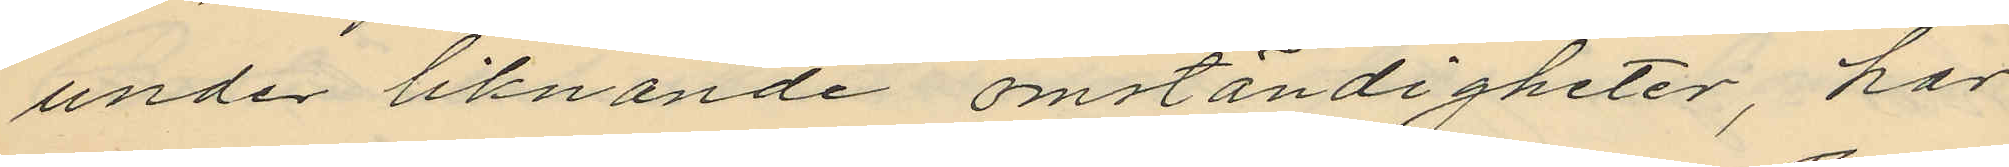under liknande omständigheter, har
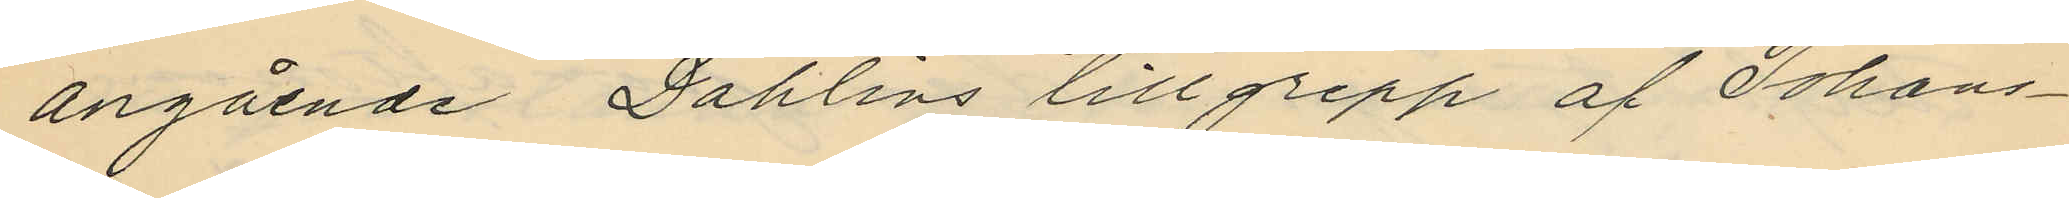angående Dahlins tillgrepp af Johans¬
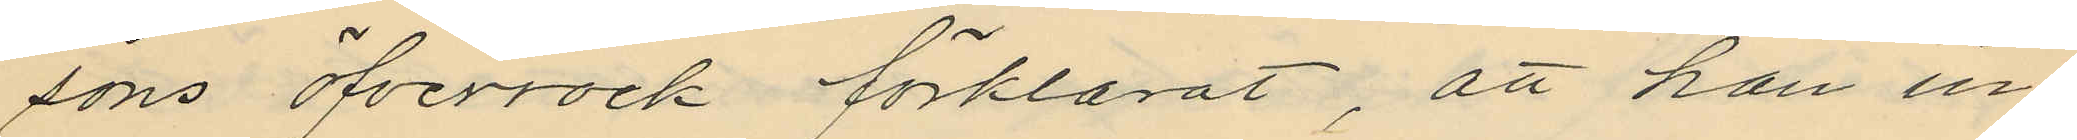sons öfverrock förklarat, att han in¬
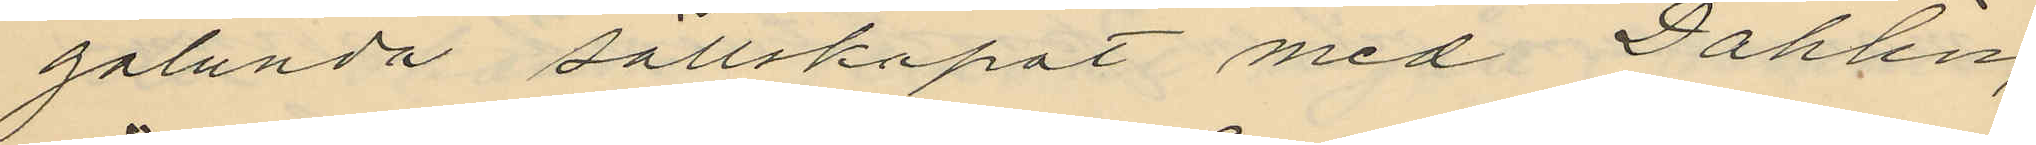galunda sällskapat med Dahlin,
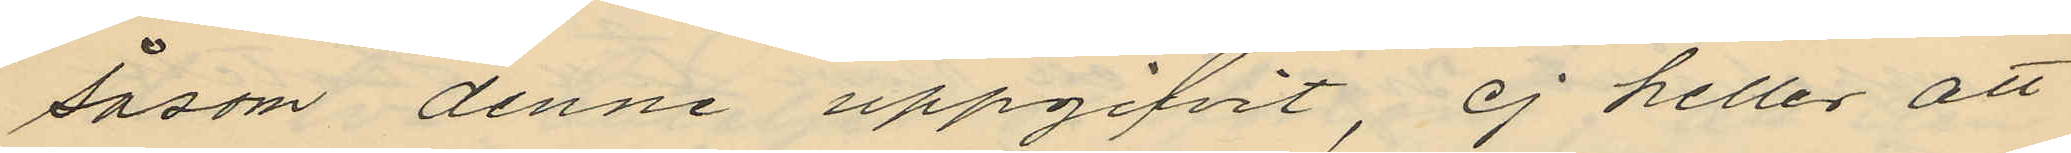såsom denne uppgifvit, ej heller att
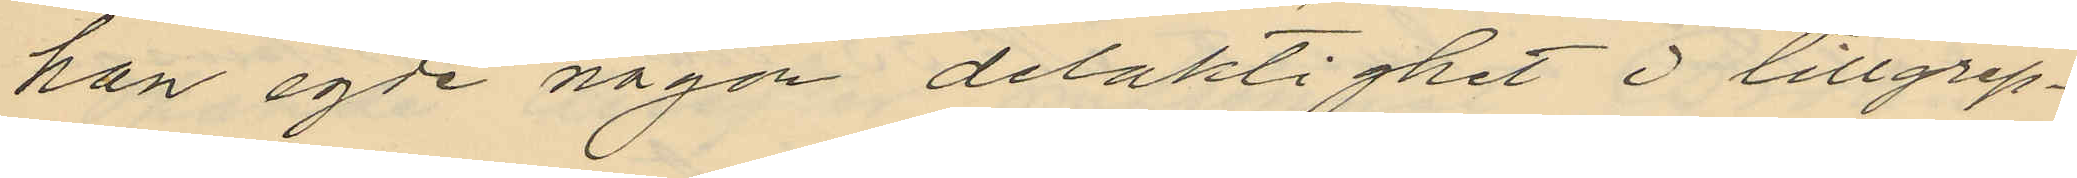han egde någon delaktighet i tillgrep¬
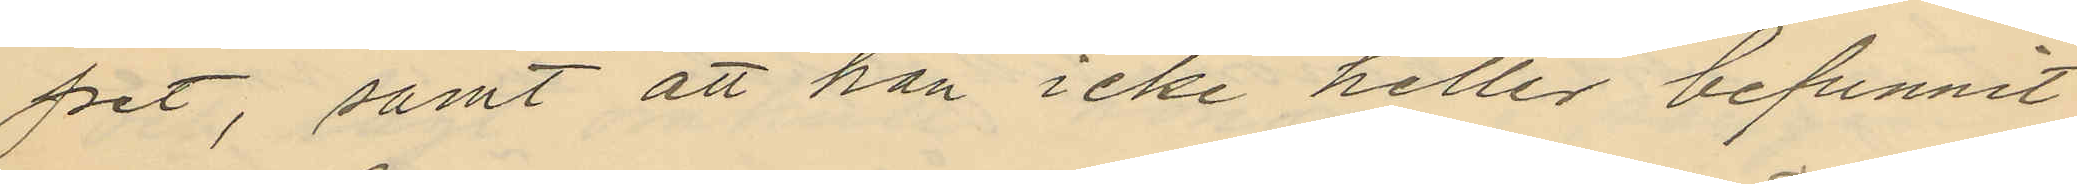pet, samt att han icke heller befunnit
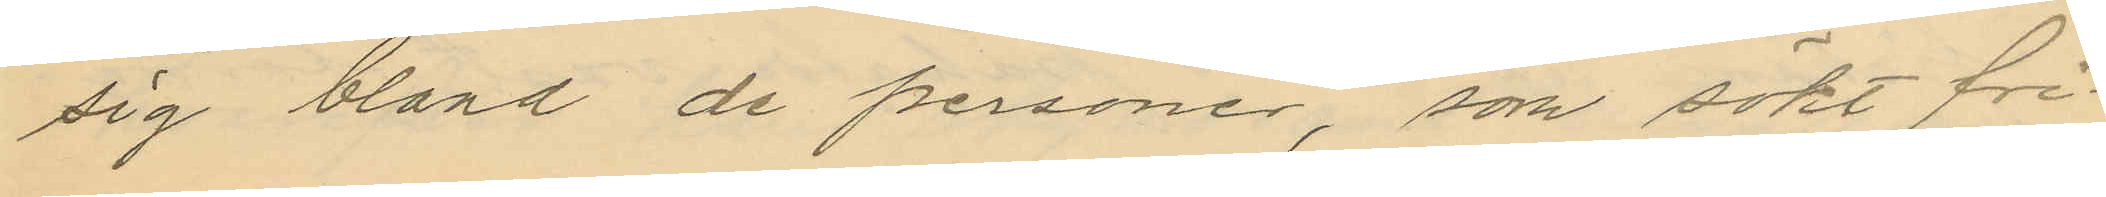sig bland de personer, som sökt fri¬
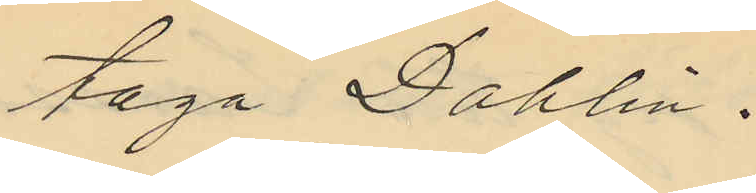taga Dahlin.
